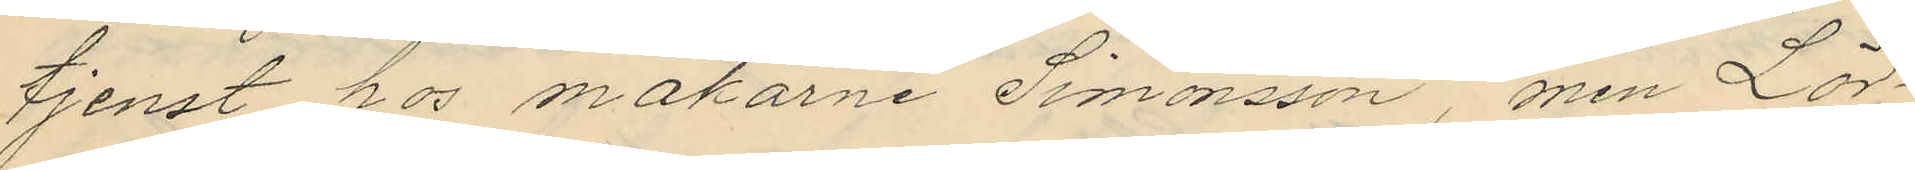tjenst hos makarne Simonsson, men Lör¬
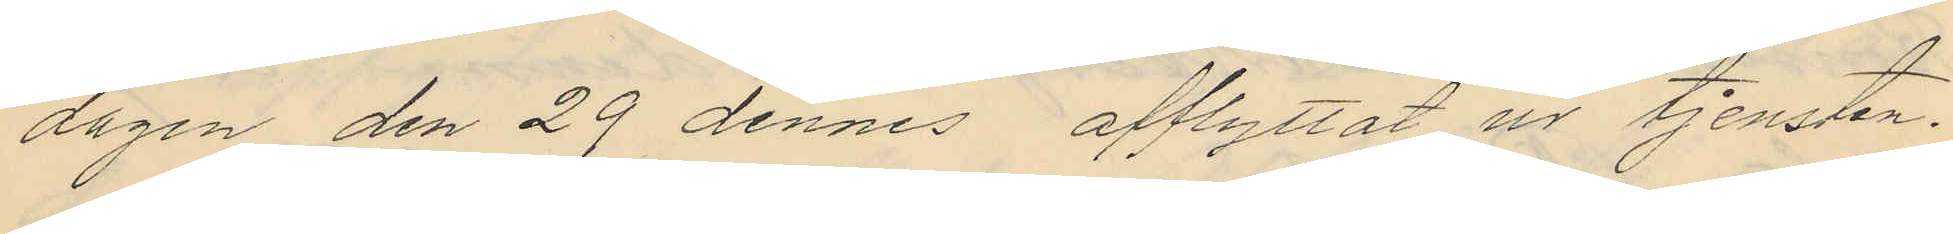dagen den 29 dennes afflyttat ur tjensten.
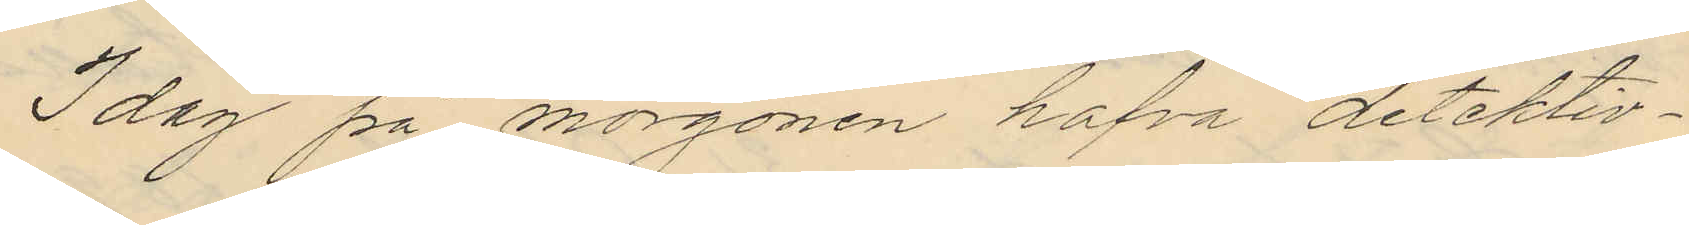Idag på morgonen hafva detektiv¬
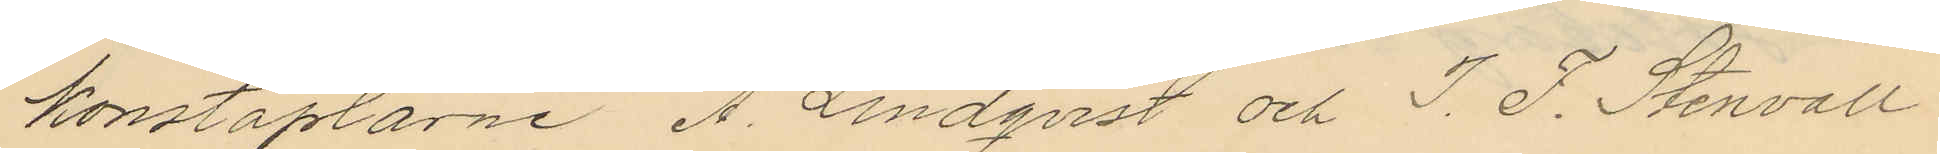konstaplarne A. Lindqvist och J. F. Stenvall
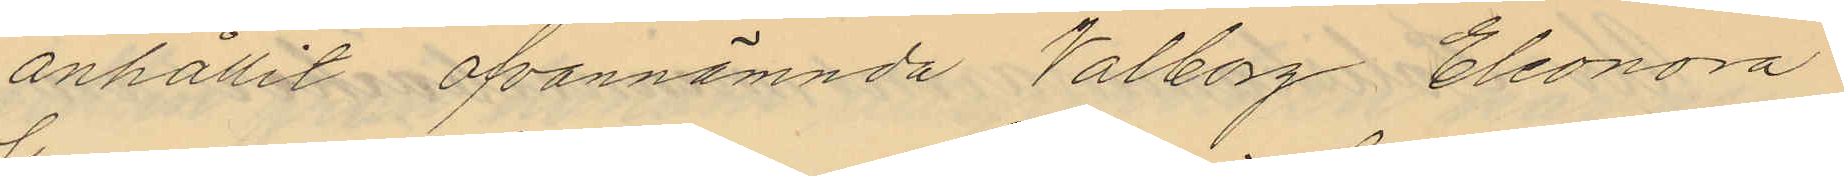anhållit ofvannämnda Valborg Eleonora
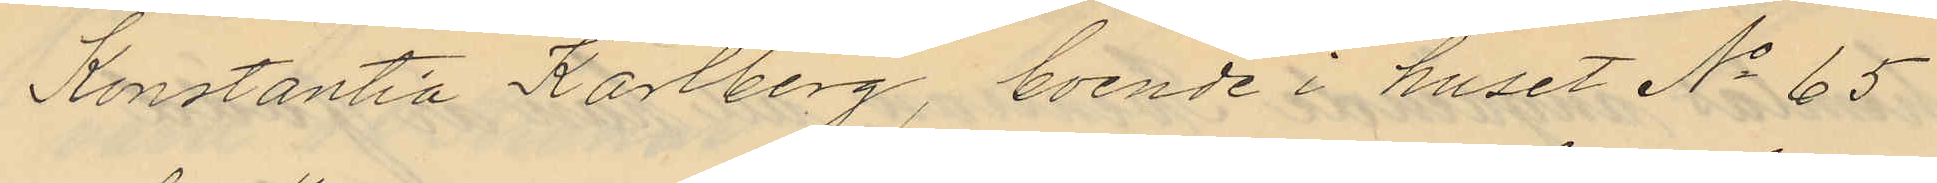Konstantia Karlberg, boende i huset No 65
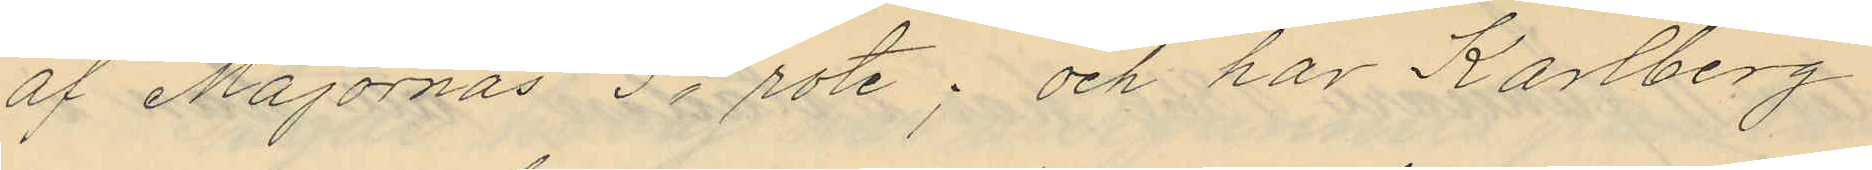af Majornas 5te rote; och har Karlberg
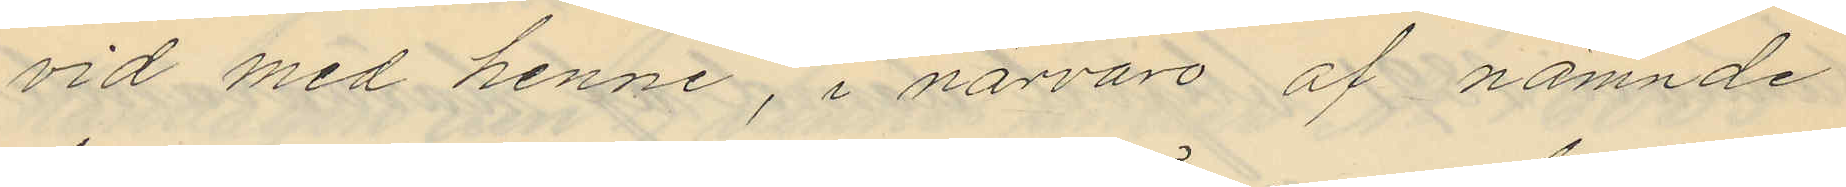vid med henne, i närvaro af nämnde
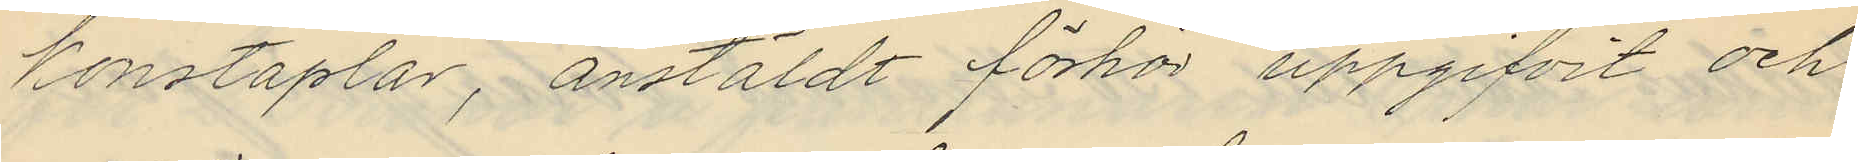konstaplar, anstäldt förhör uppgifvit och
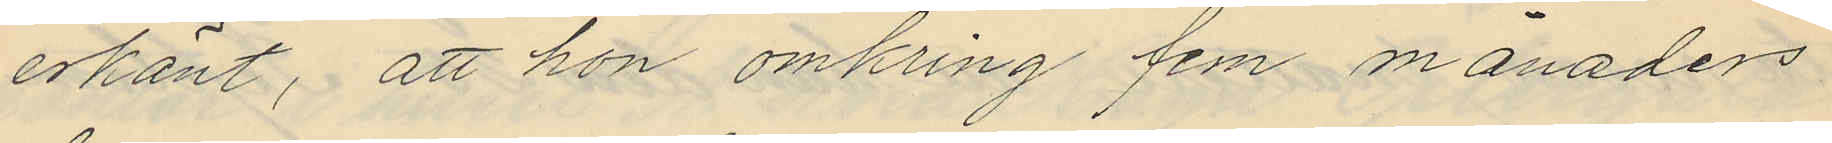erkänt, att hon omkring fem månaders
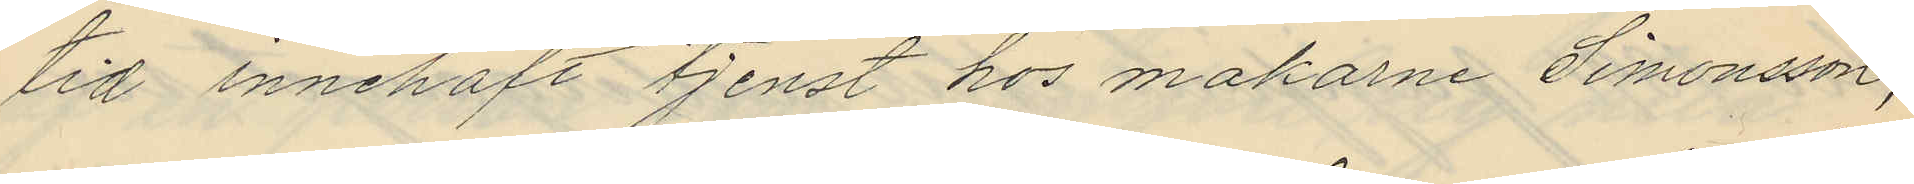tid innehaft tjenst hos makarne Simonsson,
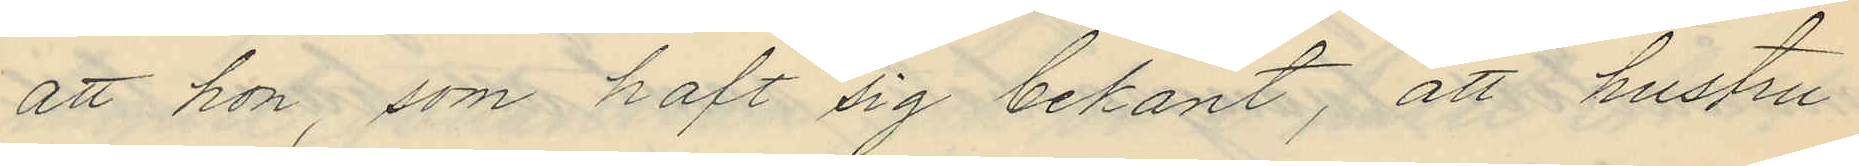att hon, som haft sig bekant, att hustru
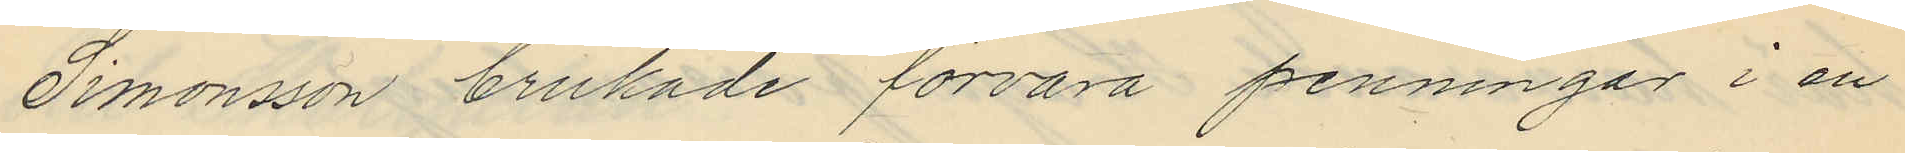Simonsson brukade förvara penningar i en
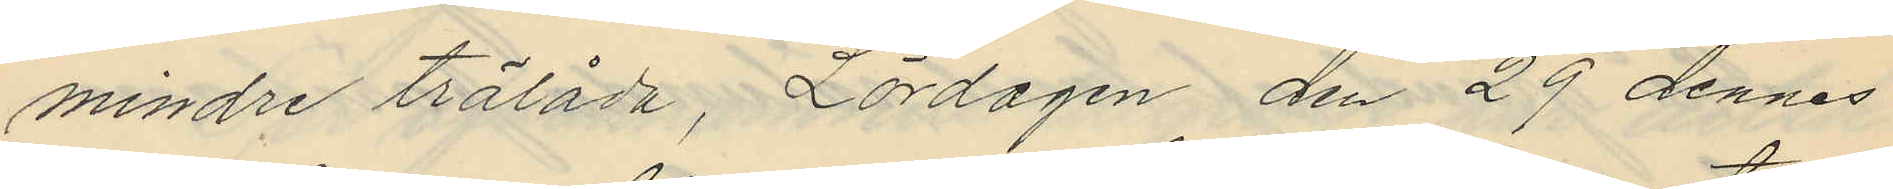mindre trälåda, Lördagen den 29 dennes
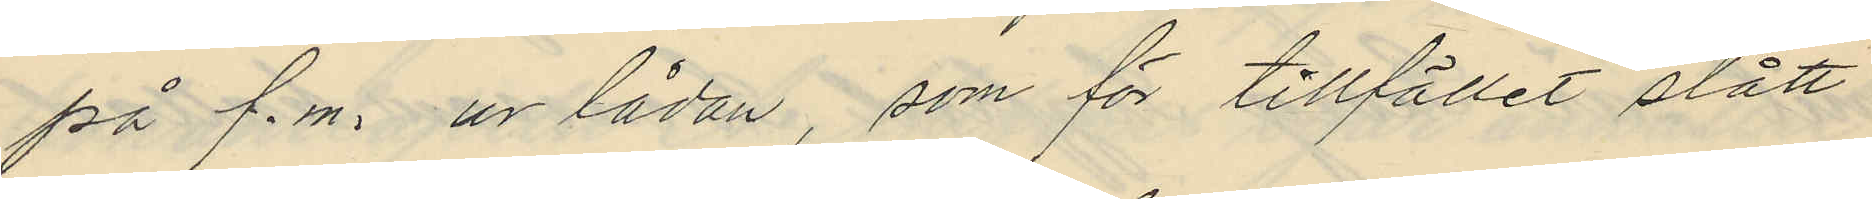på f.m. ur lådan, som för tillfället stått
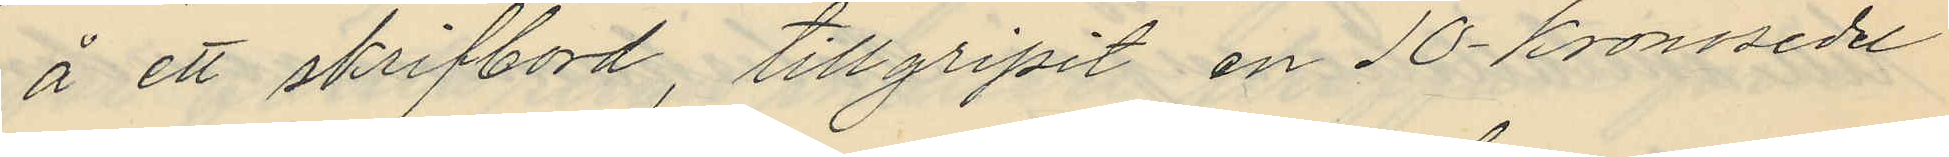å ett skrifbord, tillgripit en 10-kronosedel
